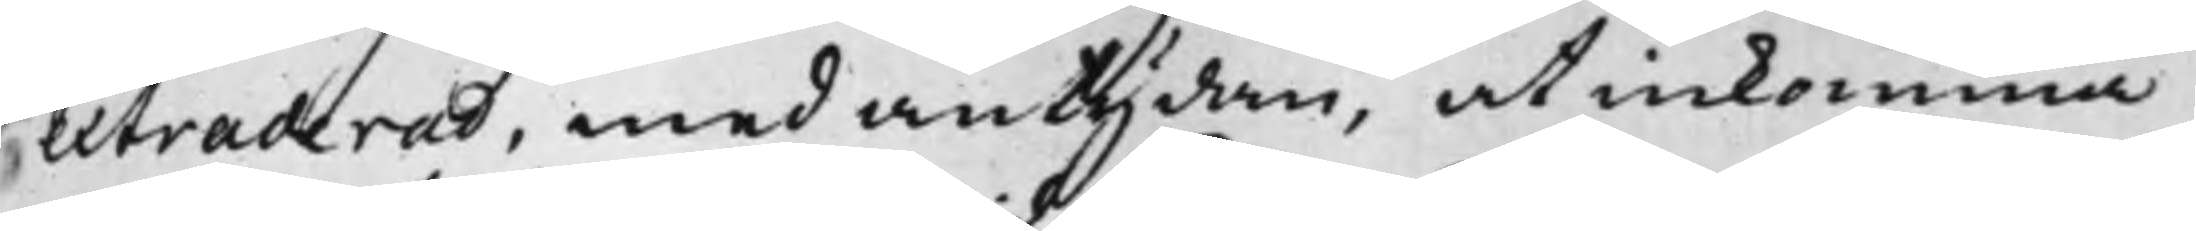extraderad, med antydan, at inkomma
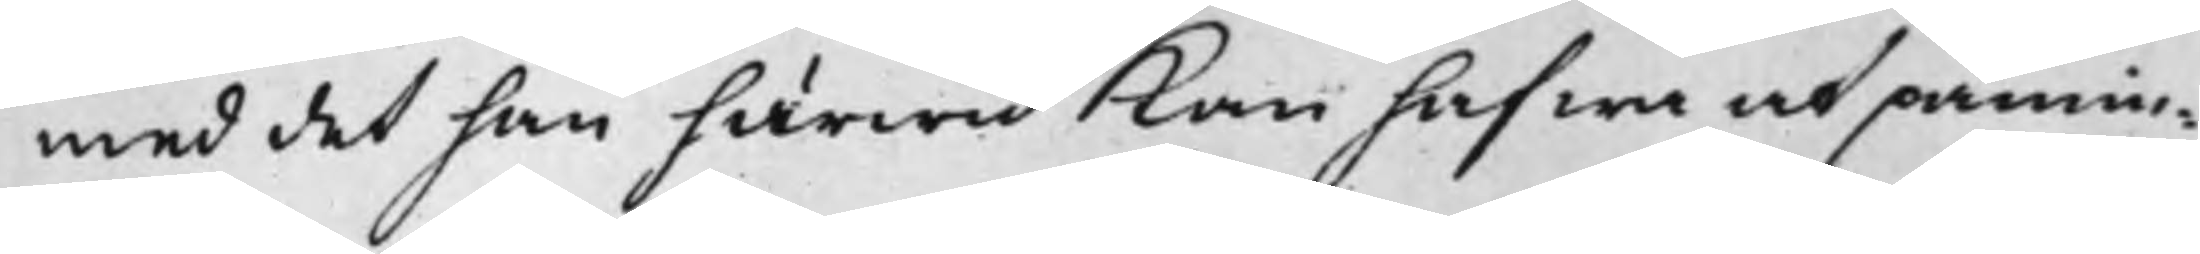med det han härwid kan hafwa at påmin¬
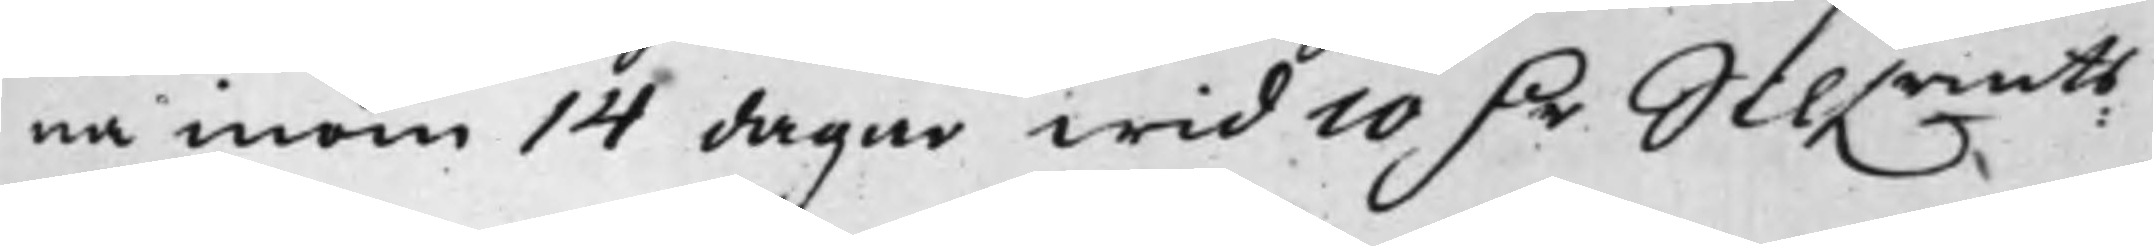na inom 14 dagar wid 10 D.r Silf.rmts
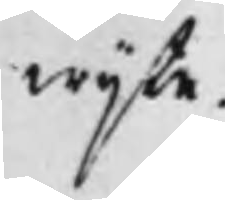wijte.
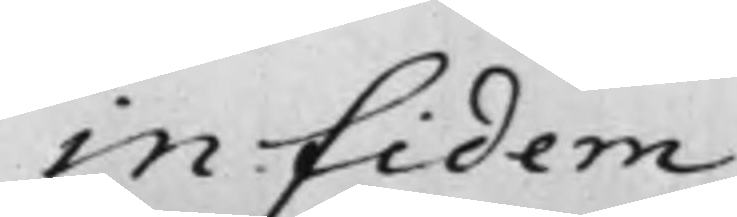in Fidem
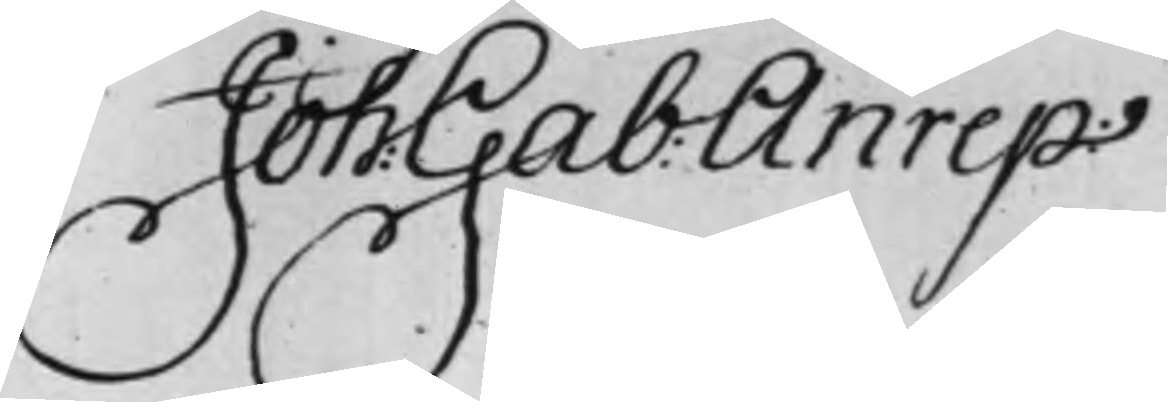Joh: Gab: Anrep
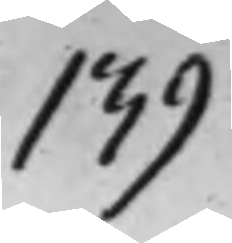139
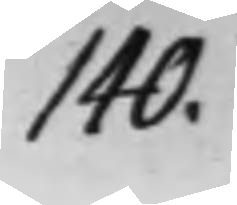140.
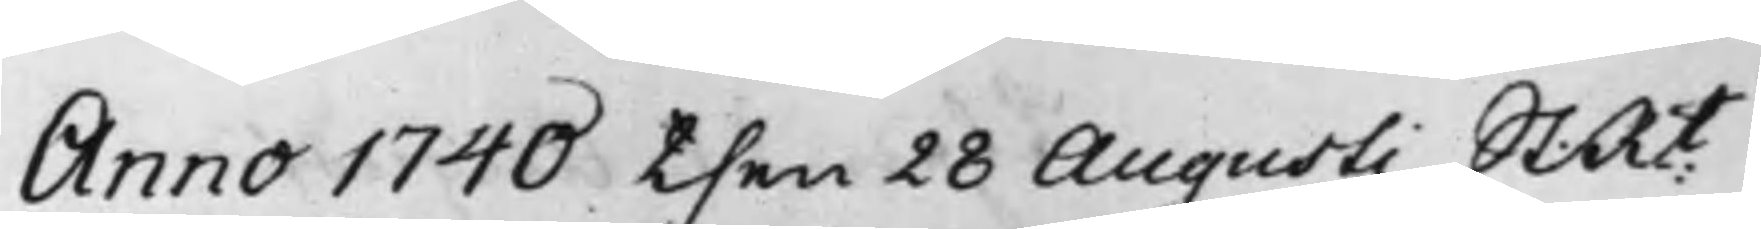Anno 1740 then 28 Augusti St: Rt
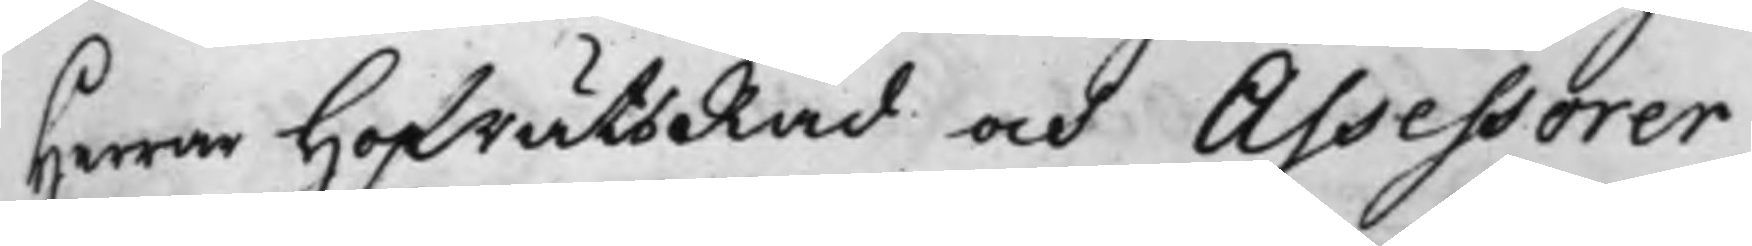Herrar HofrättsRåd och Assessorer
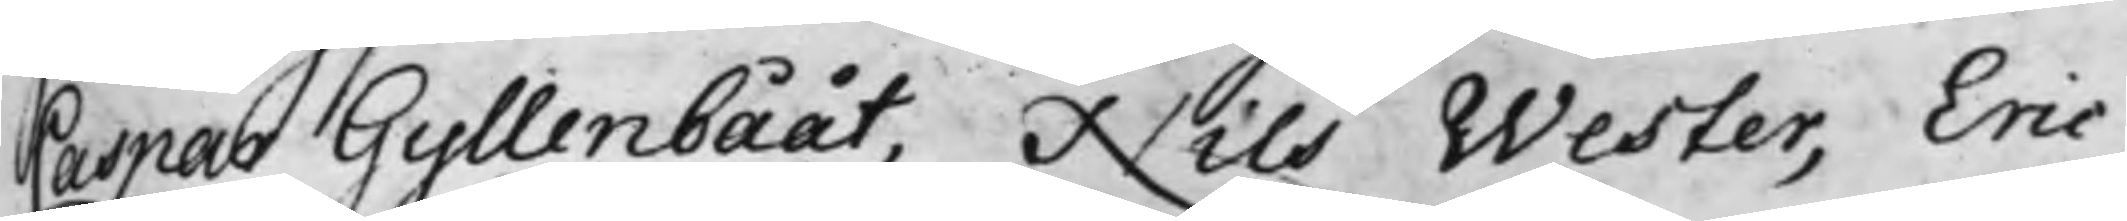Caspar Gyllenbååt, Nils Wester, Eric
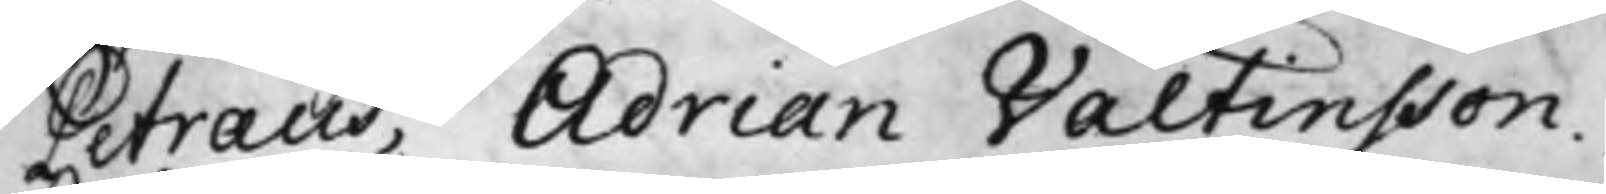Petræus, Adrian Valtinsson.
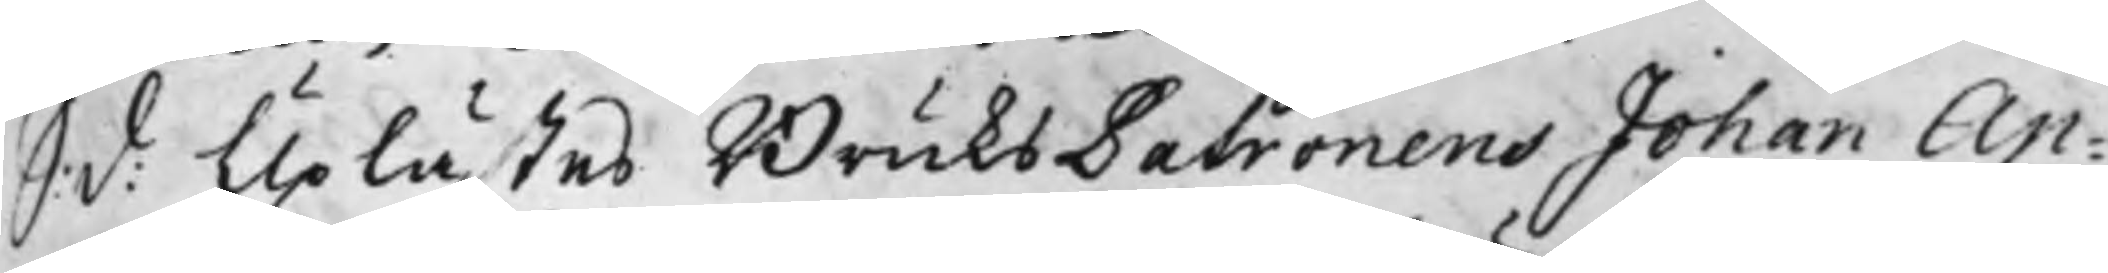S: d: Uplästes BruksPatronens Johan Ap¬
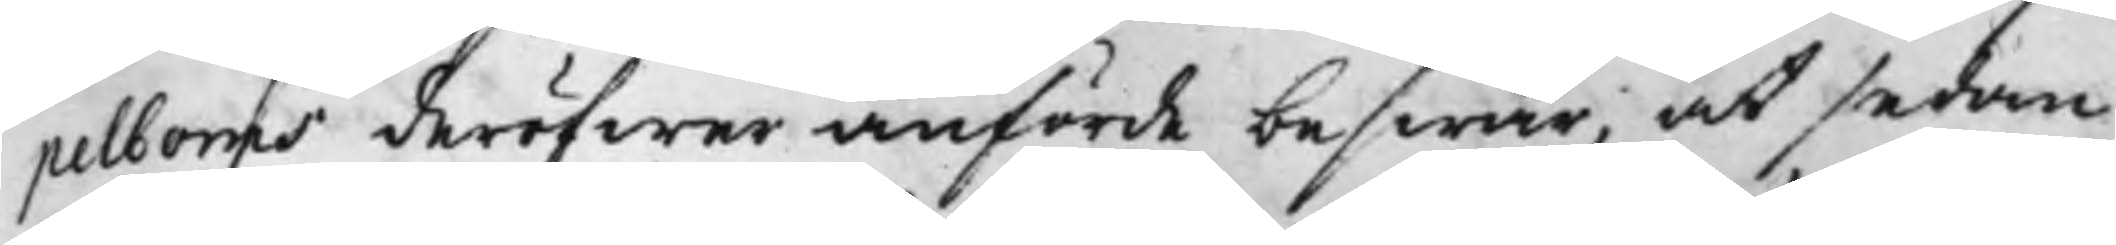pelboms deröfwer anförde beswär, at sedan
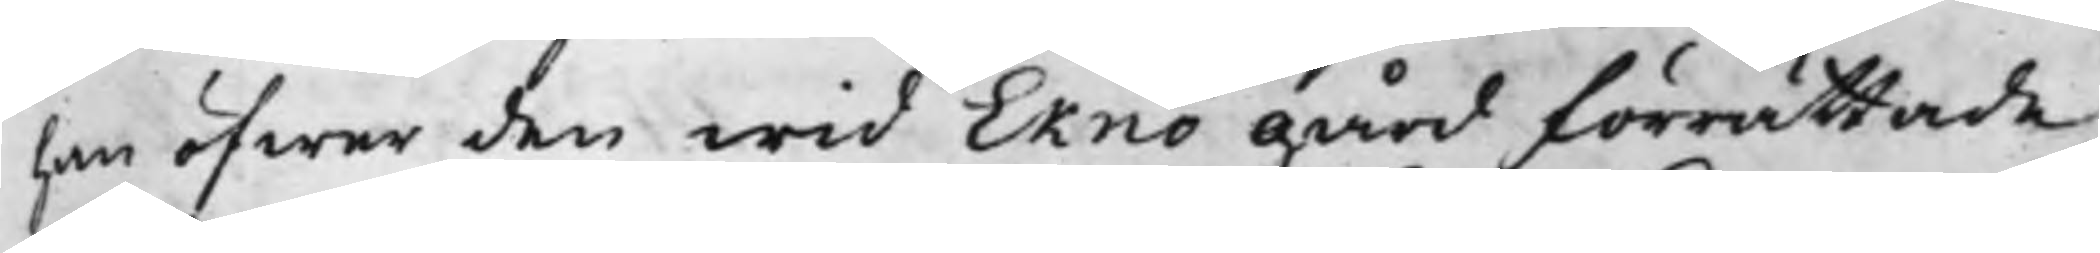han öfwer den wid Eknö gård förrättade
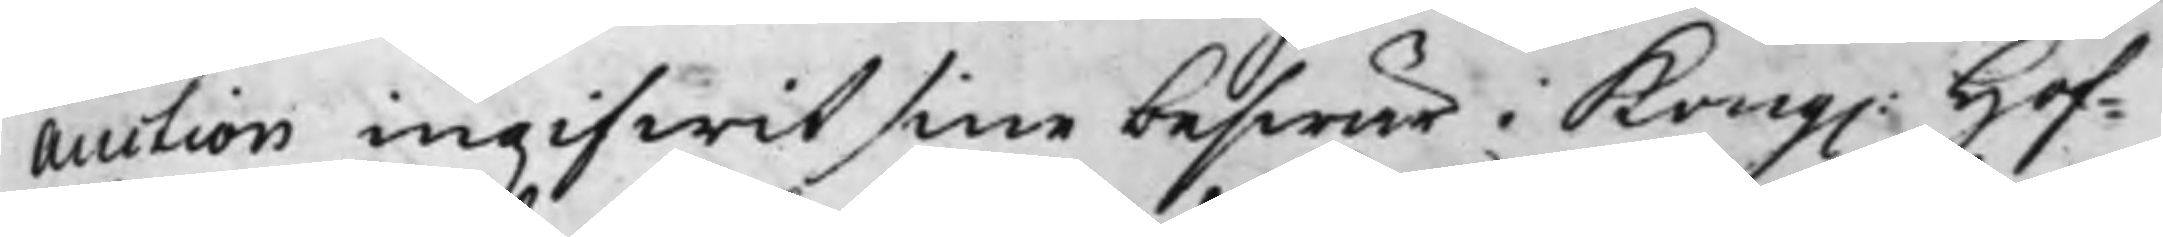Auction ingifwit sine beswär i Kong. Hof¬
